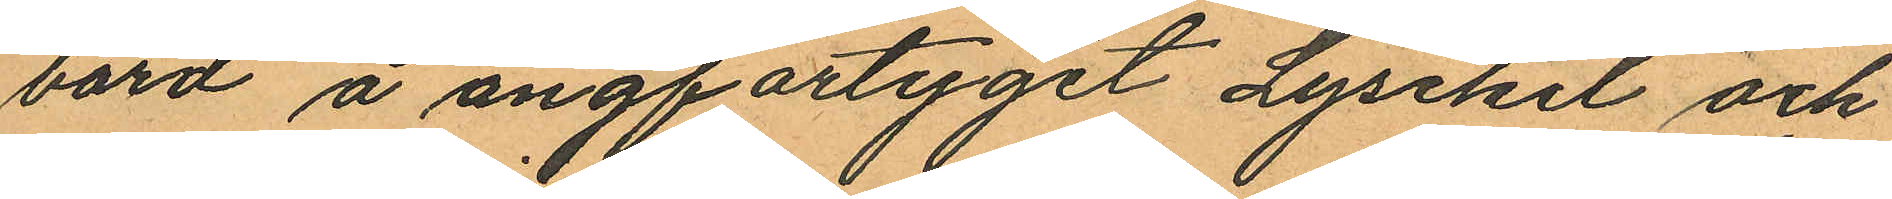bord å ångfartyget Lysekil och
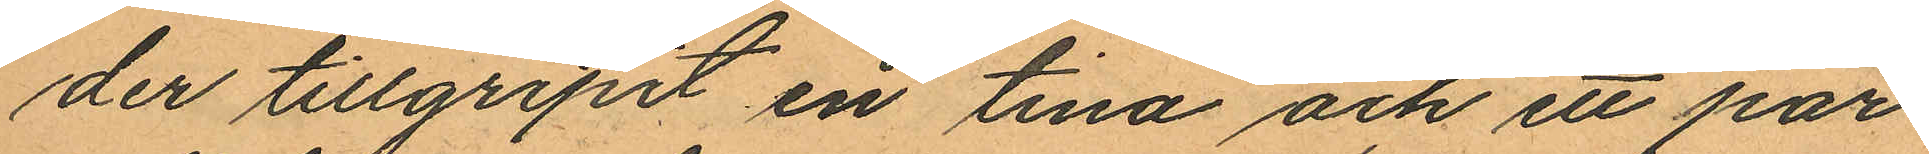der tillgripit en tina och ett par
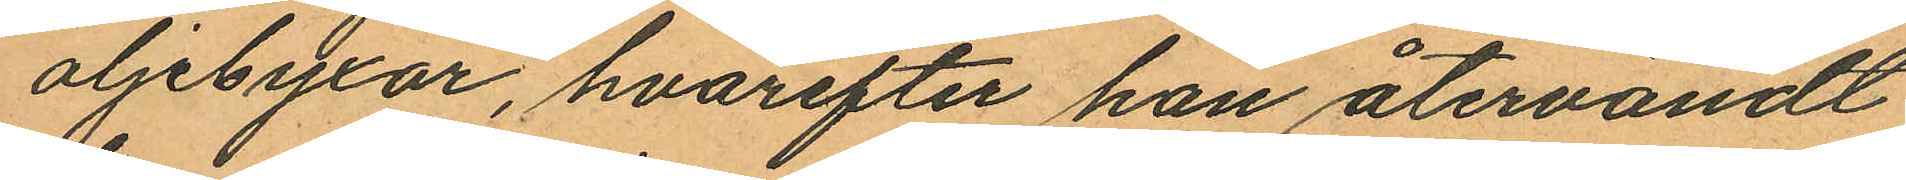oljebyxor, hvarefter han återvändt
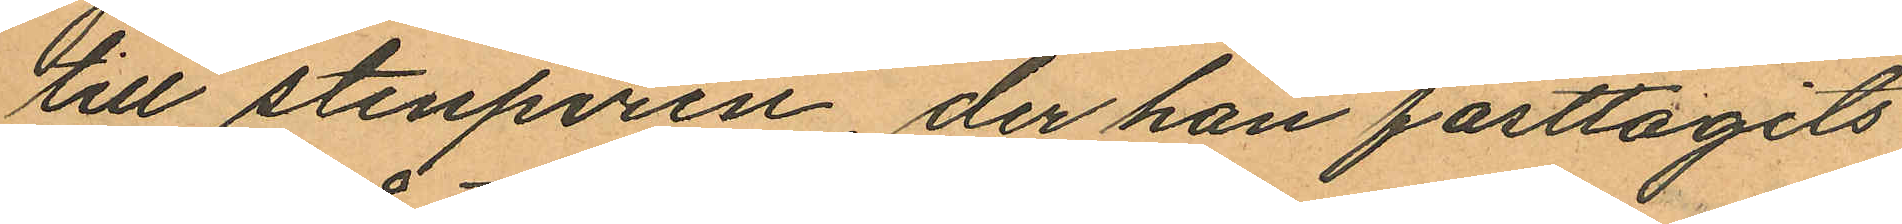till stenpiren, der han fasttagits
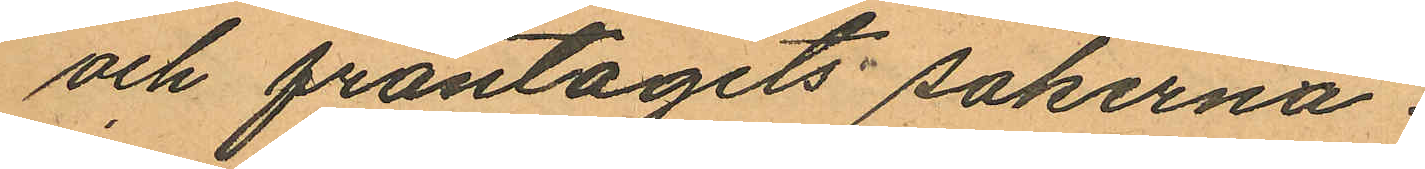och fråntagits sakerna.
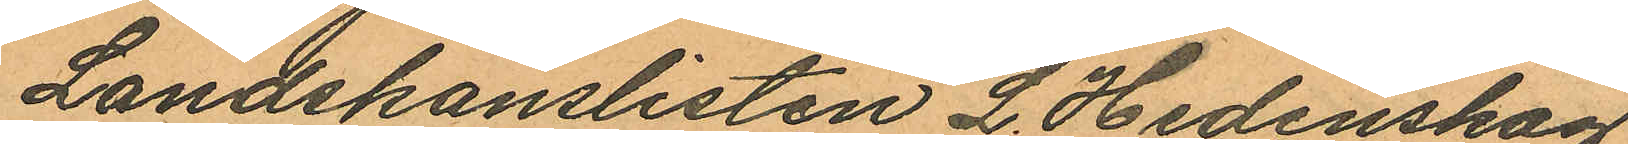Landskanslisten L. Hedenskog
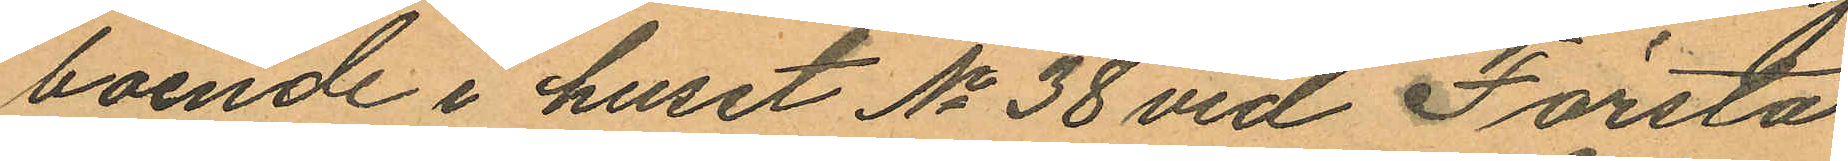boende i huset No 38 vid Första
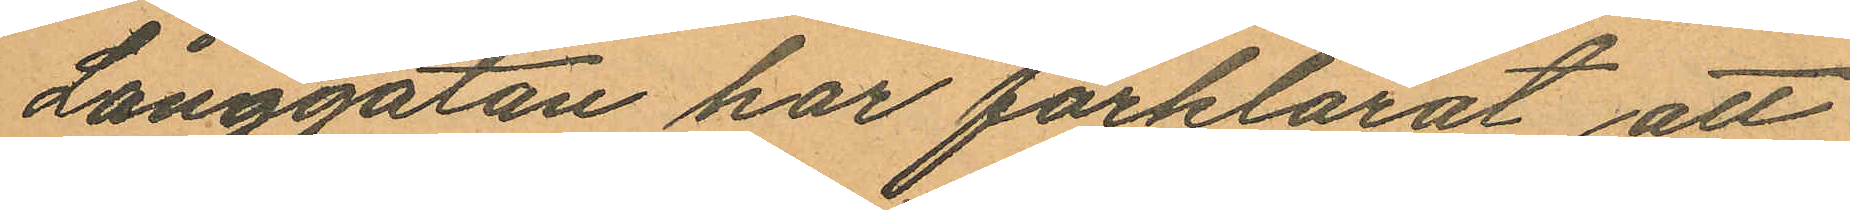Långgatan har förklarat att
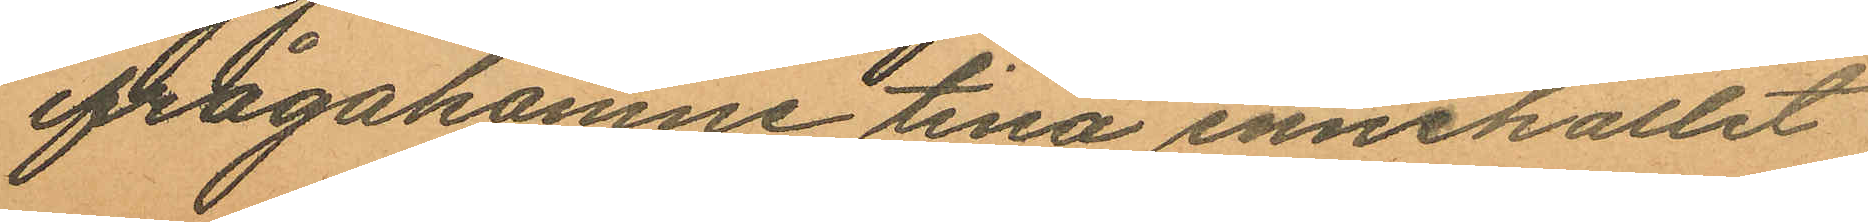ifrågakomne tina innehållet
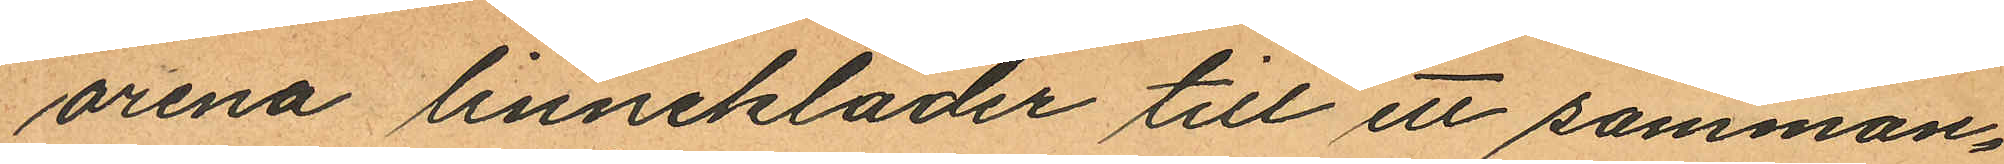orena linnekläder till ett samman¬
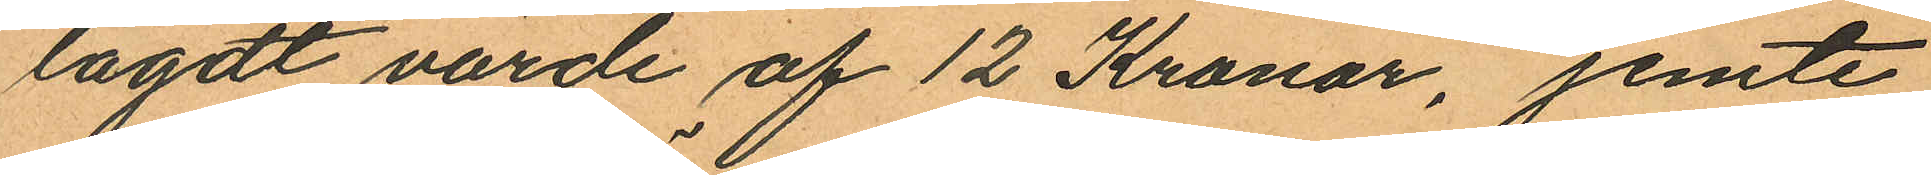lagdt värde af 12 Kronor, jemte
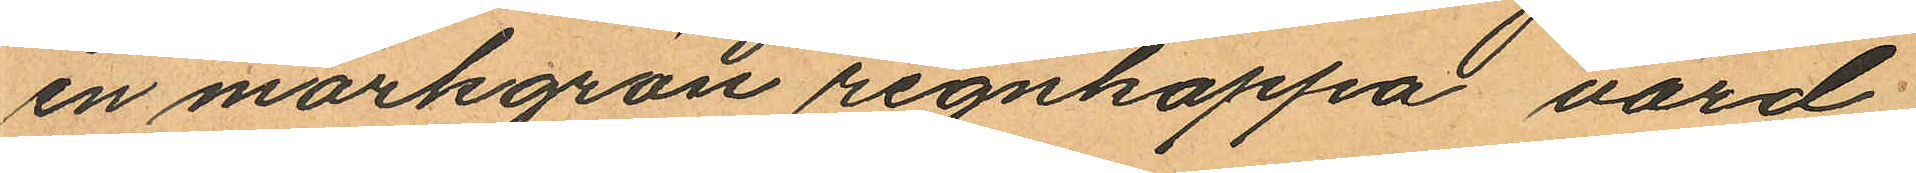en mörkgrön regnkappa värd
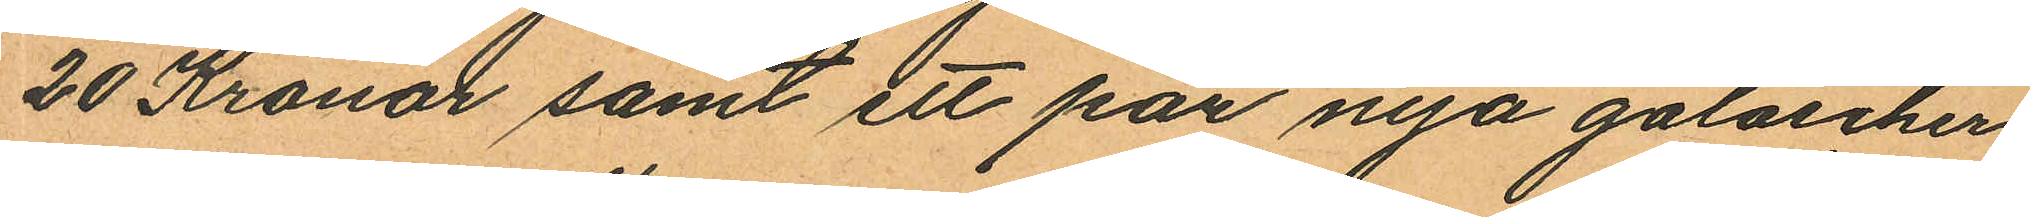20 Kronor samt ett par nya galoscher
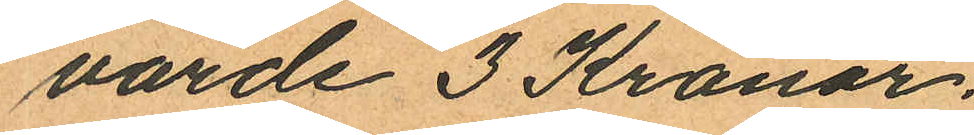värde 3 Kronor.
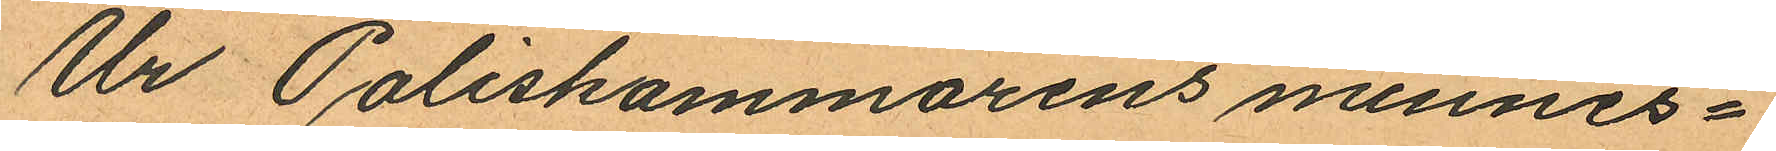Ur Poliskammarens minnes¬
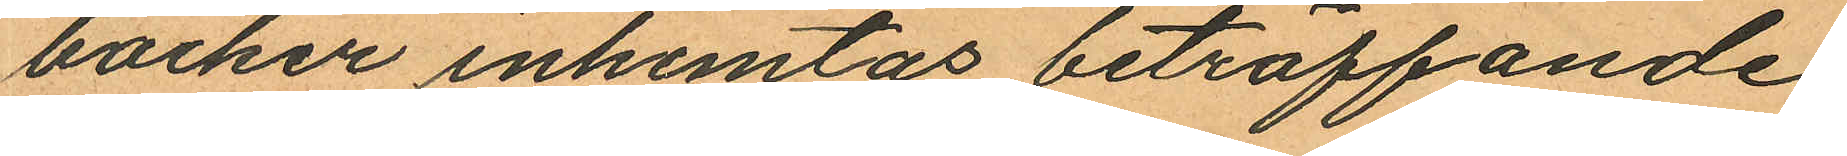böcker inhemtas beträffande
